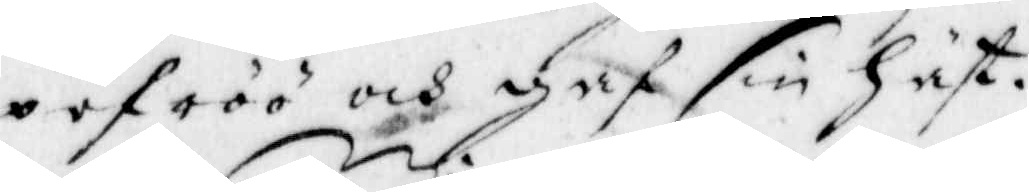pefröö och gaf sin häst.
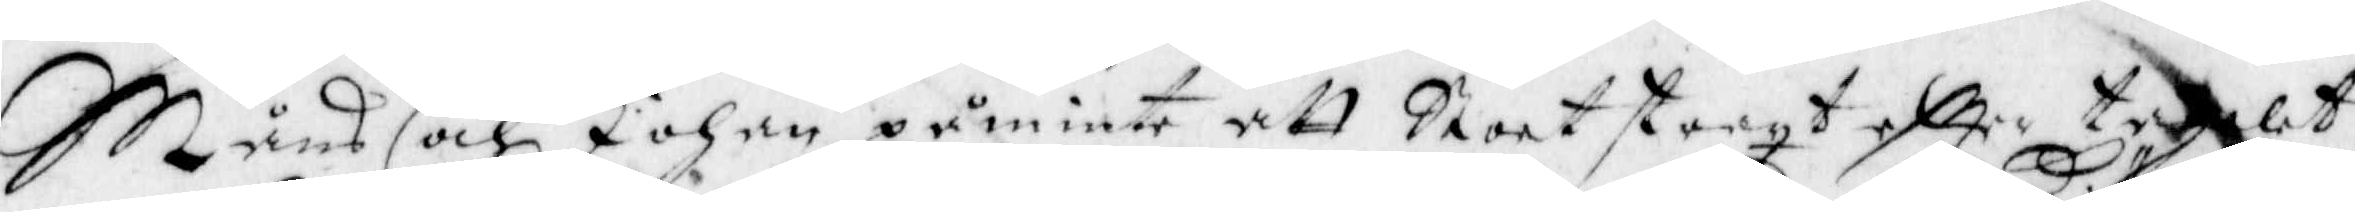Måns och Johan påminte att Stoet straxt eftter taglet
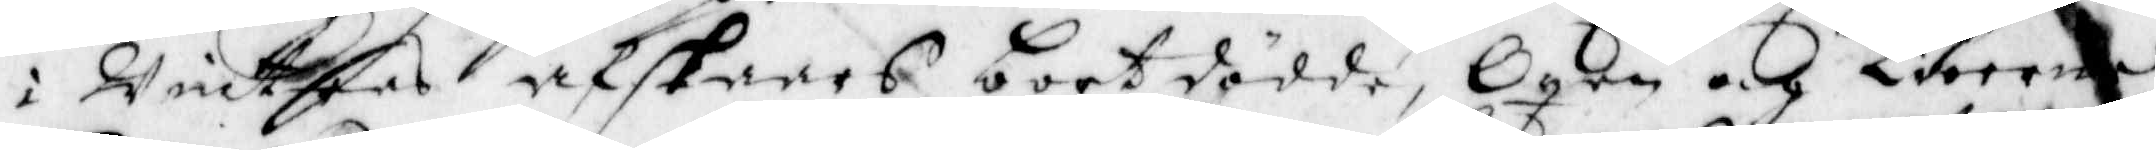i Wintras afskaars bort dödde, Oxen och kiöerna
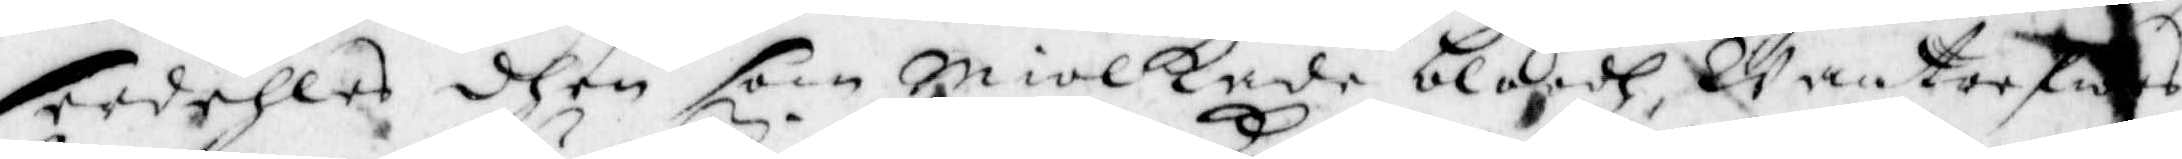erdehles dhen som miolkade bloodh, wanterfrs
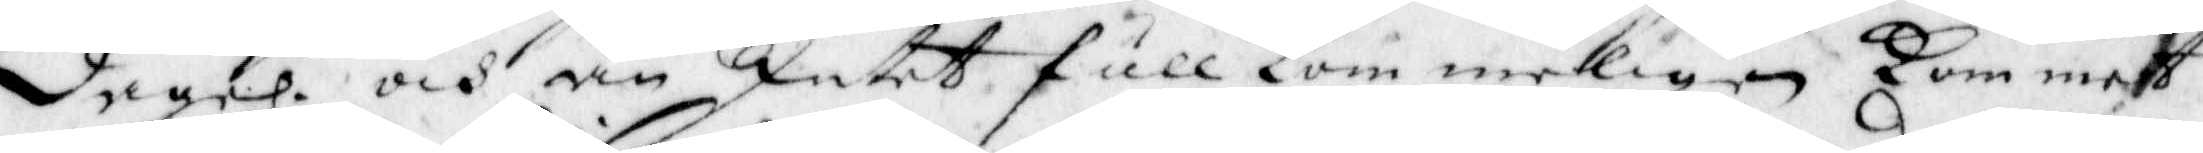Lagel. och än Intet full kom merligen kom met
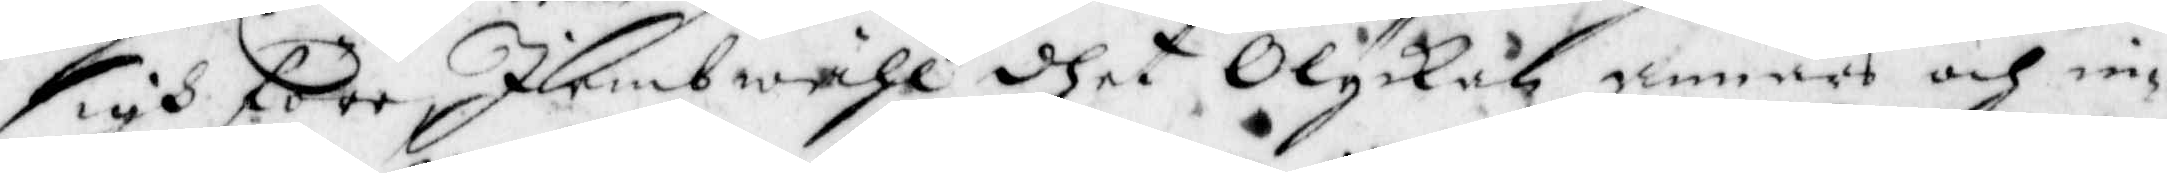sigh före, Iiembwähl dhet olyckan annars och in¬
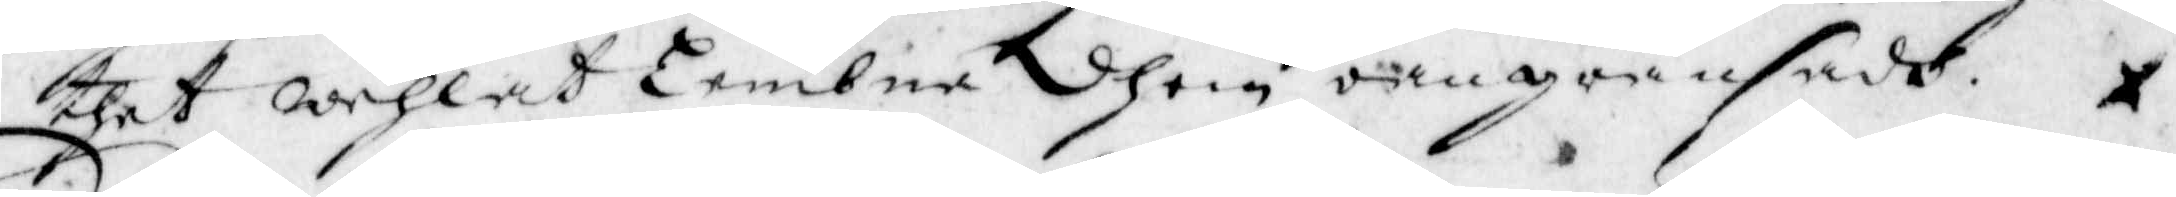thet wehlat Lembna dhem oangränsade.
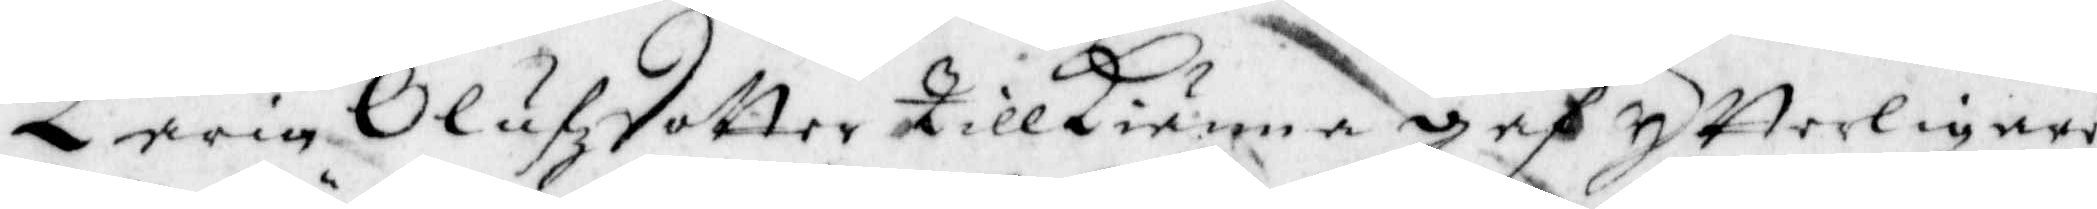karin Olufzdotter Tillkienna gaf ytterligare
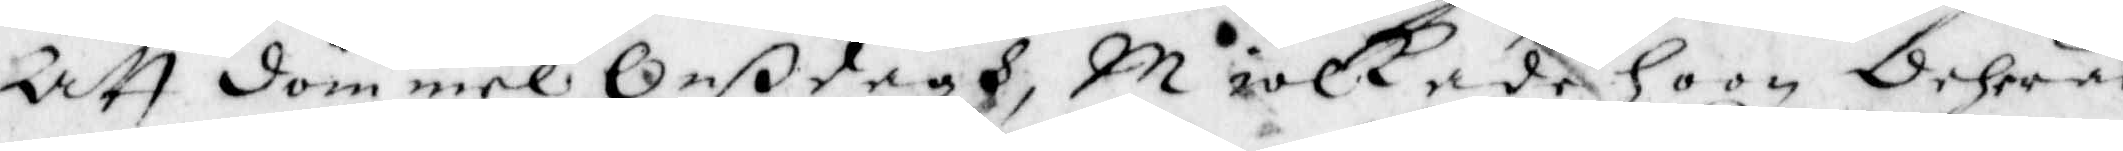Att döm mel Onßdagh, Miolkade hoon dehras
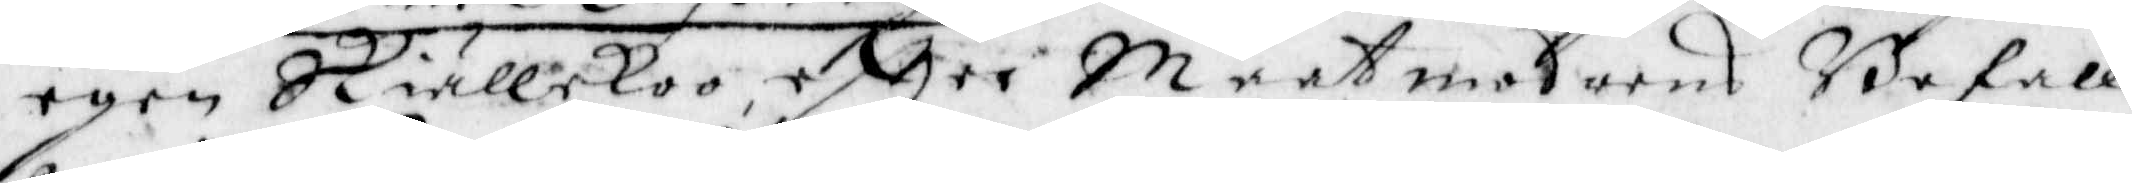egen Skiällekoo eftter Maatmoderns Befall¬
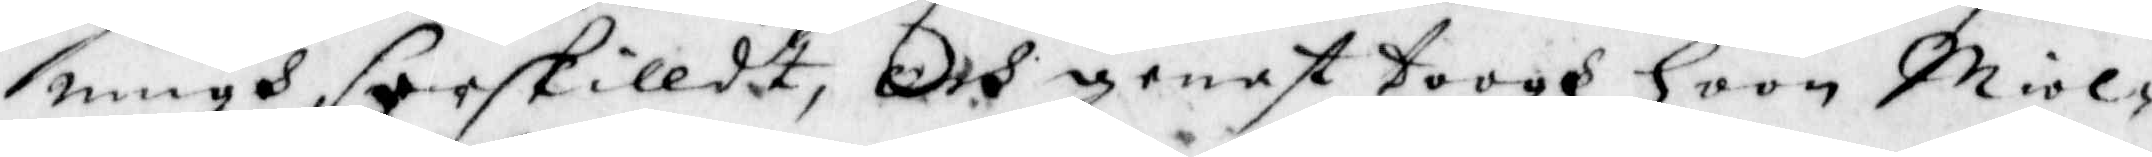ningh, serskilldt, Och genast toogh hoon Miol¬
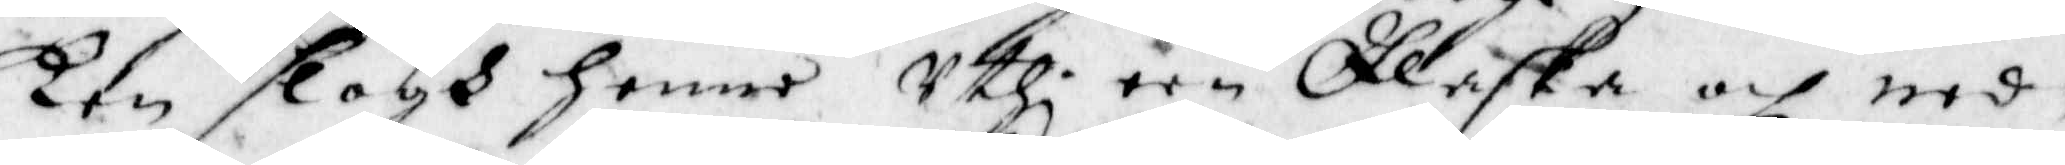ken slogh henne uthi een Flaska och ned¬
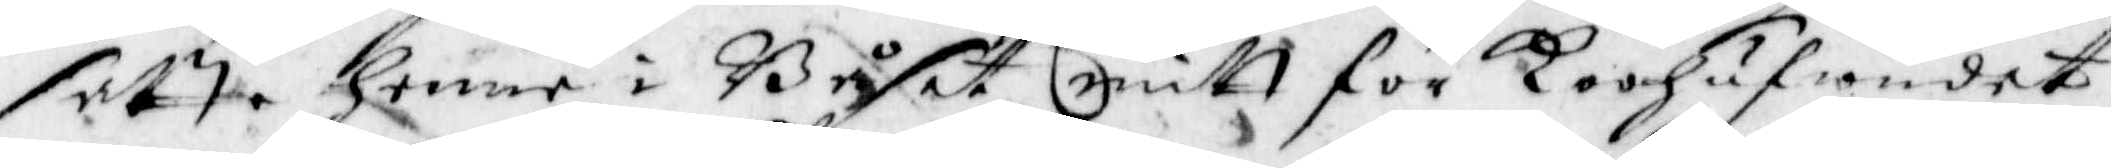satte henne i Båset mitt för koohufwudet
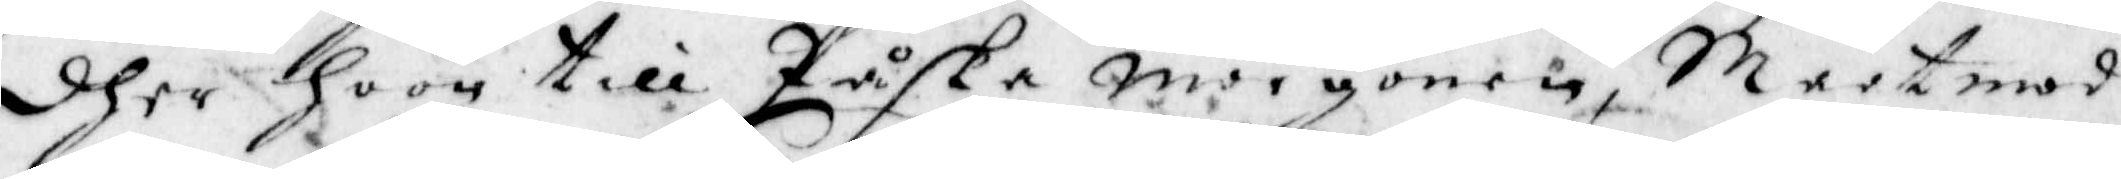dher hoon till Påske morgonen, Maatmod¬
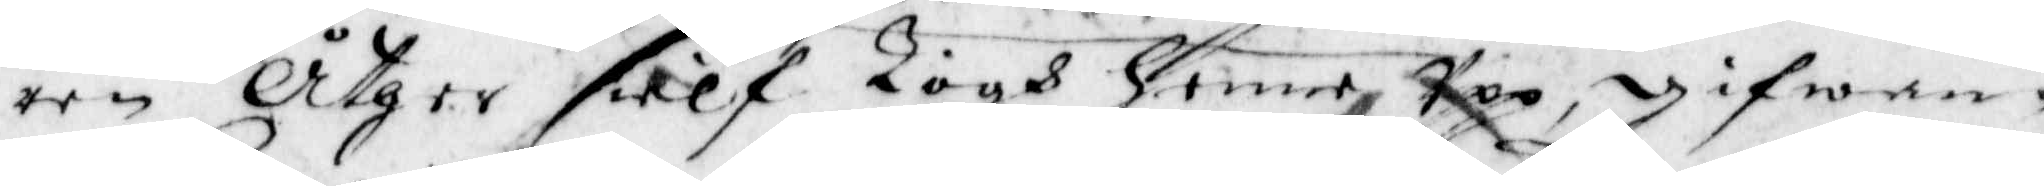ren Åthger sielf Togh henne Upp, gifwan¬
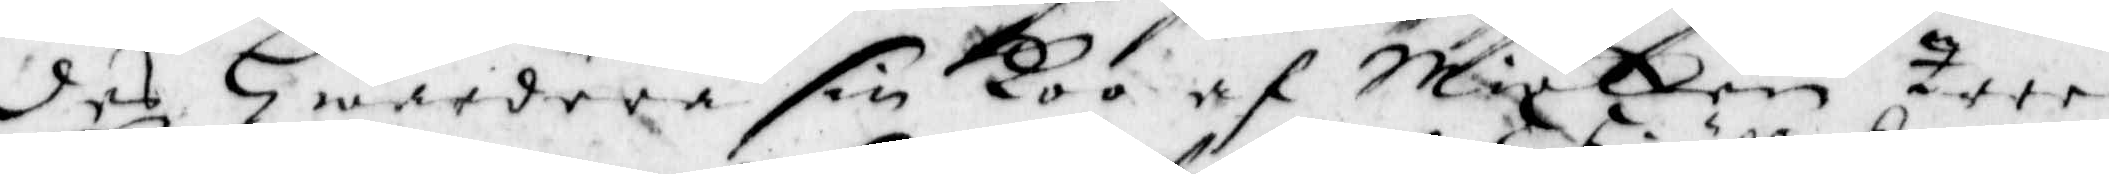des Hwardera sin koo af Miolken Tree
